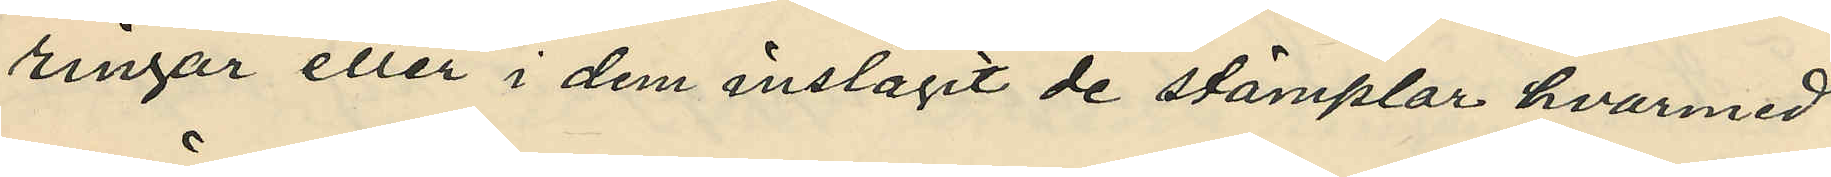ringar eller i dem inslagit de stämplar hvarmed
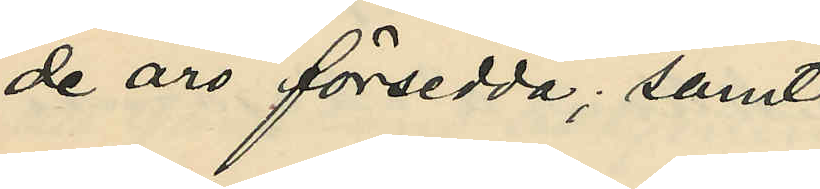de äro försedda; samt
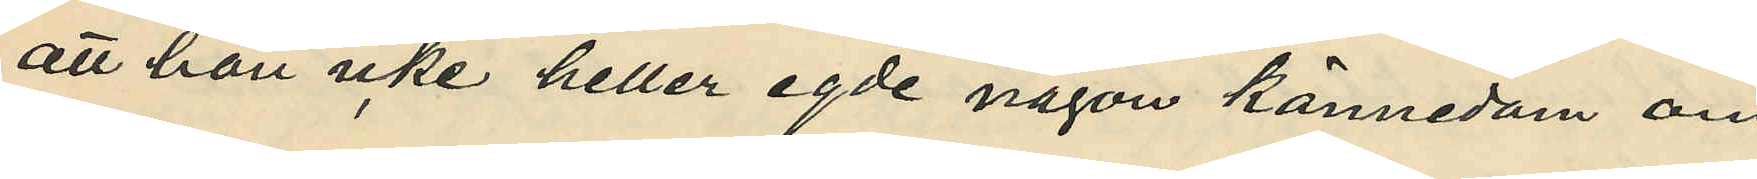att han icke heller egde någon kännedom om
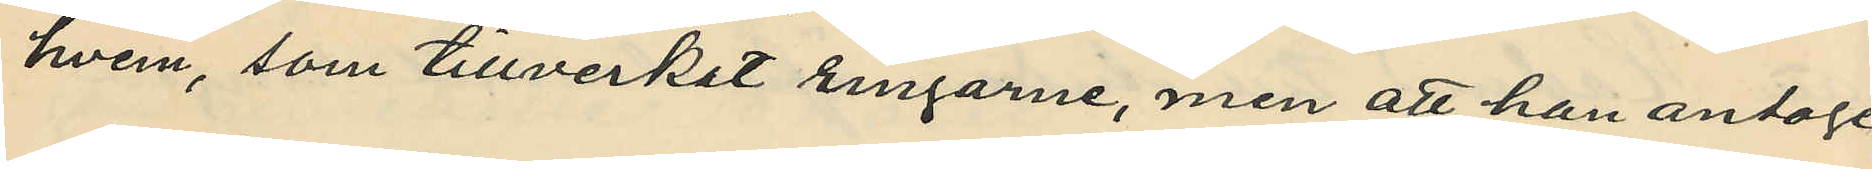hvem, som tillverkat ringarne, men att han antage
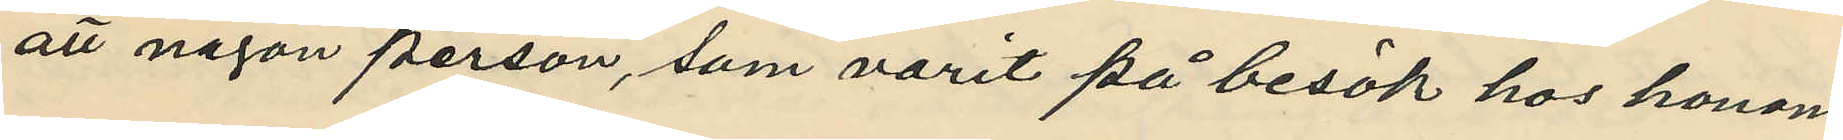att någon person, som varit på besök hos honom
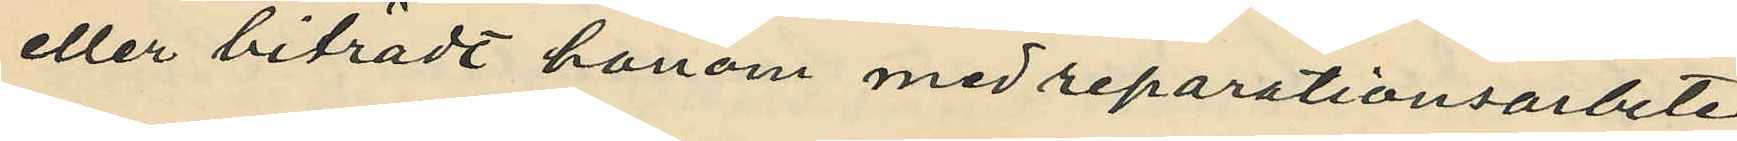eller biträdt honom med reparationsarbete
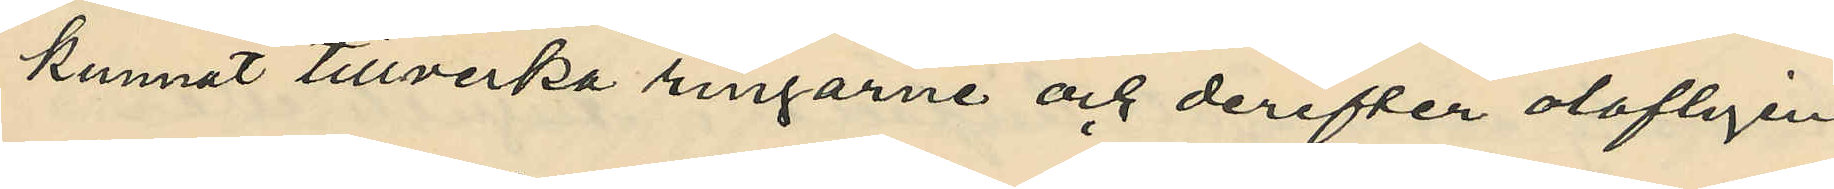kunnat tillverka ringarne och derefter olofligen
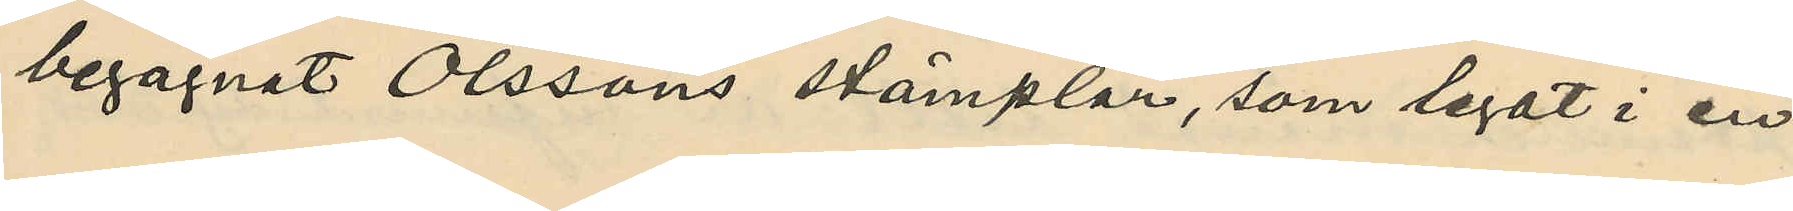begagnat Olssons stämplar, som legat i en
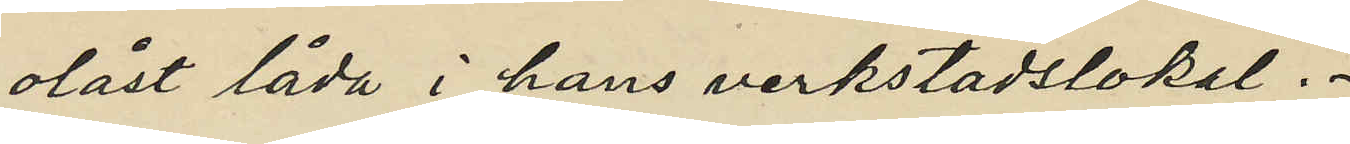olåst låda i hans verkstadslokal.
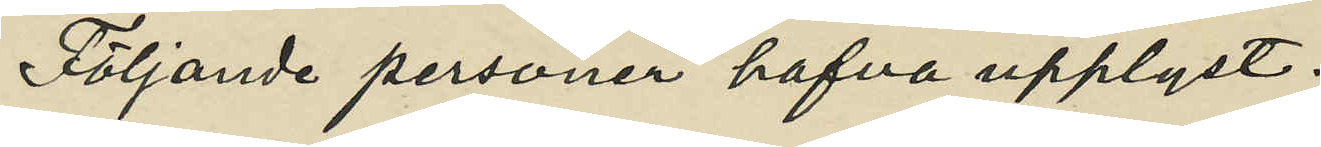Följande personer hafva upplyst:
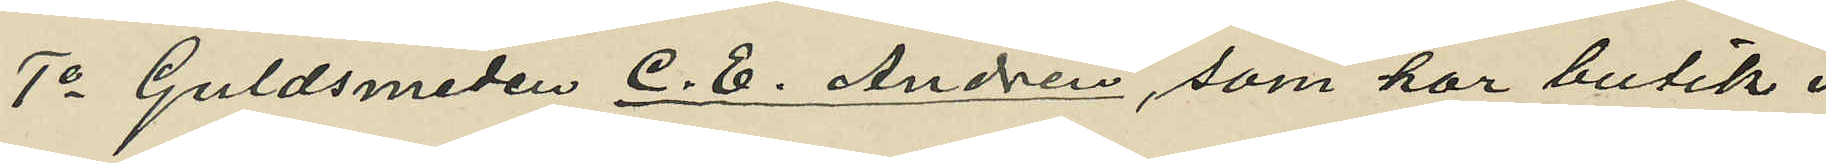1o Guldsmeden C. E. Andren, som har butik i
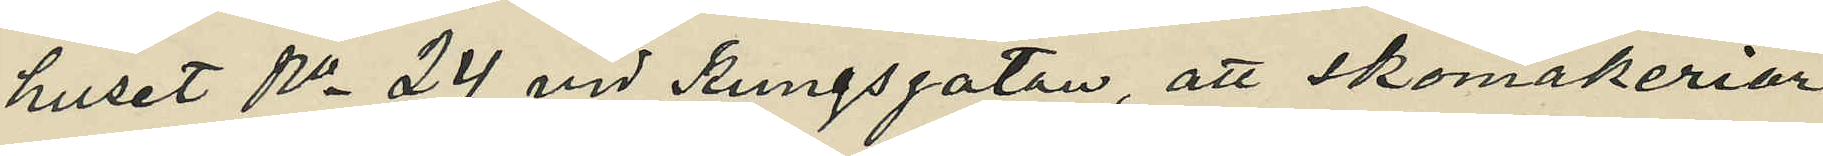huset No 24 vid Kungsgatan, att Skomakeriar¬
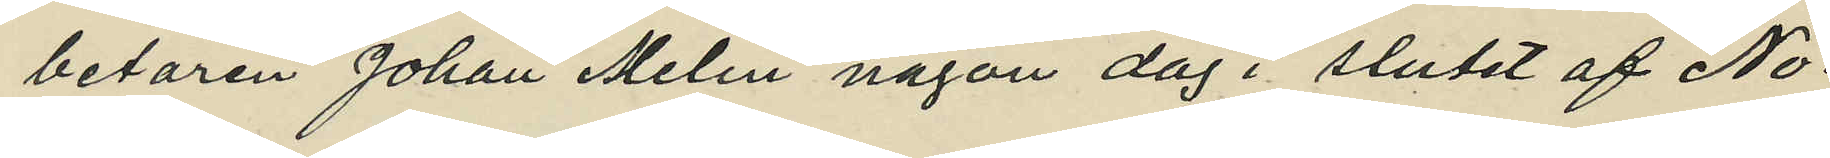betaren Johan Melin någon dag i slutet af No¬
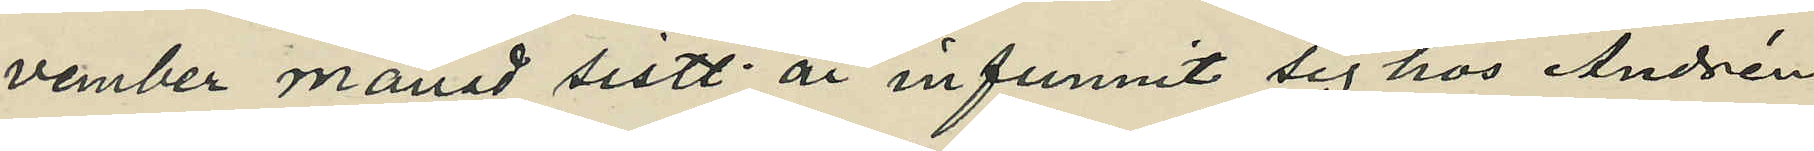vember månad sistl. år infunnit sig hos Andrén
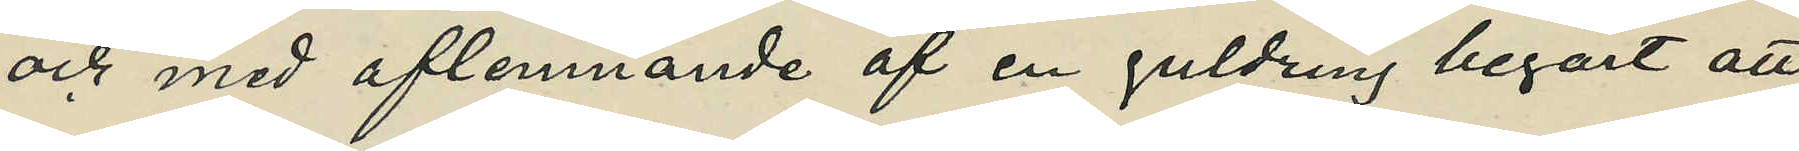och med aflemnande af en guldring begärt att
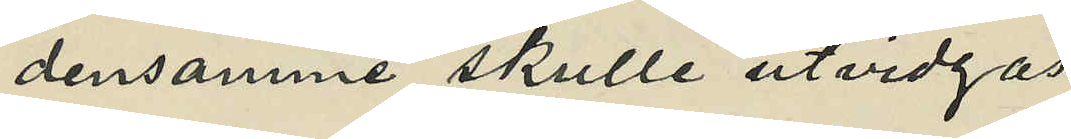densamme skulle utvidgas,
